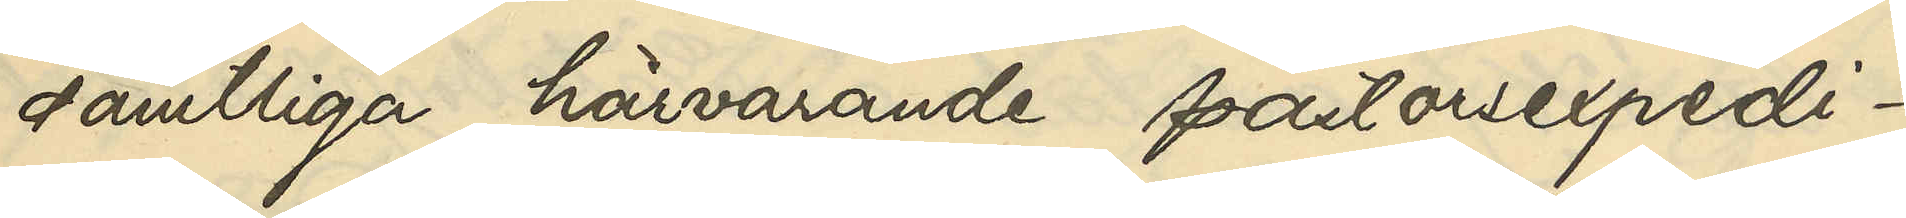samtliga härvarande pastorsexped¬
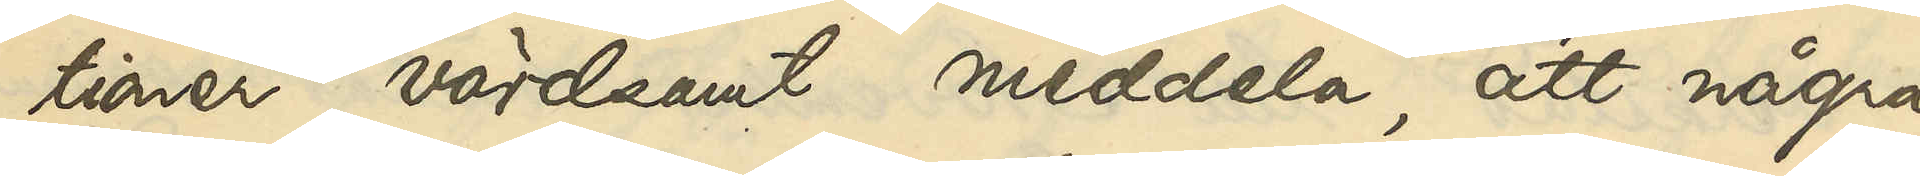tioner, vördsamt meddela, att några
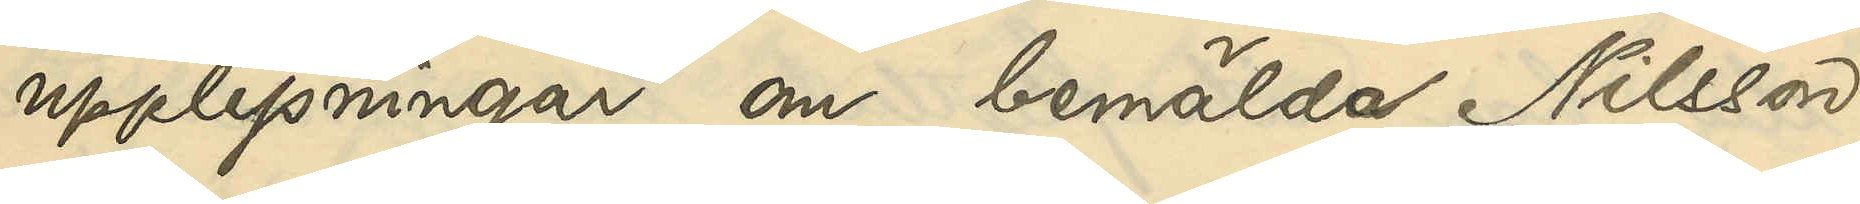upplysningar om bemälda Nilsson
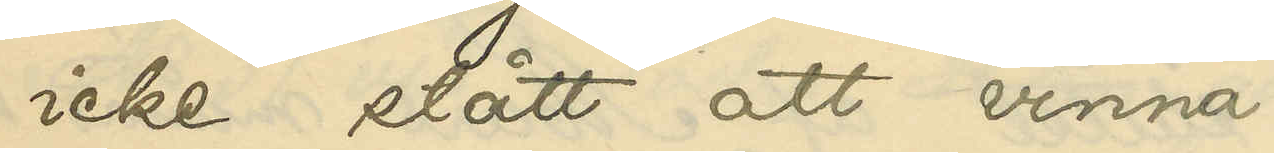icke stått att vinna.
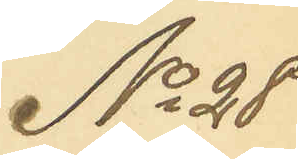No 28
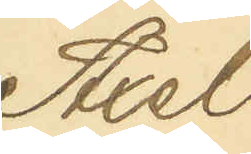Axel 
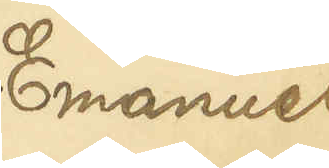Emanuel
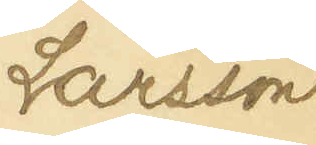Larsson
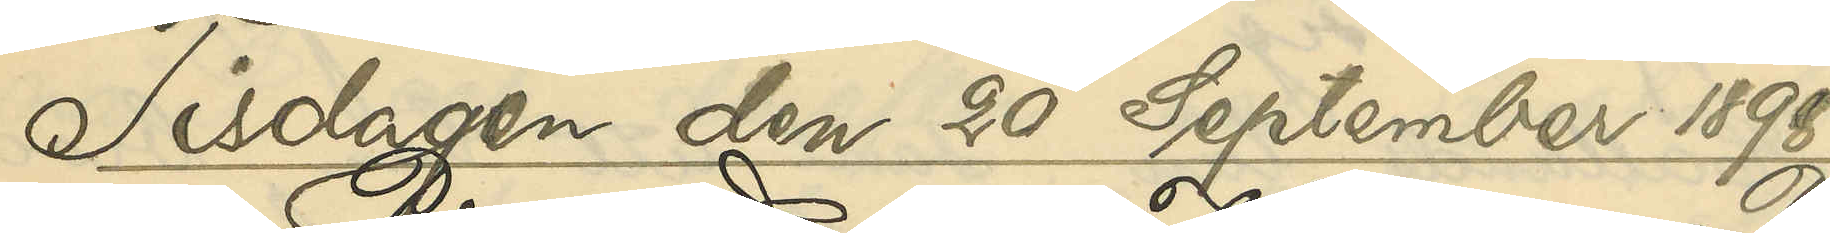Tisdagen den 20 September 1898.
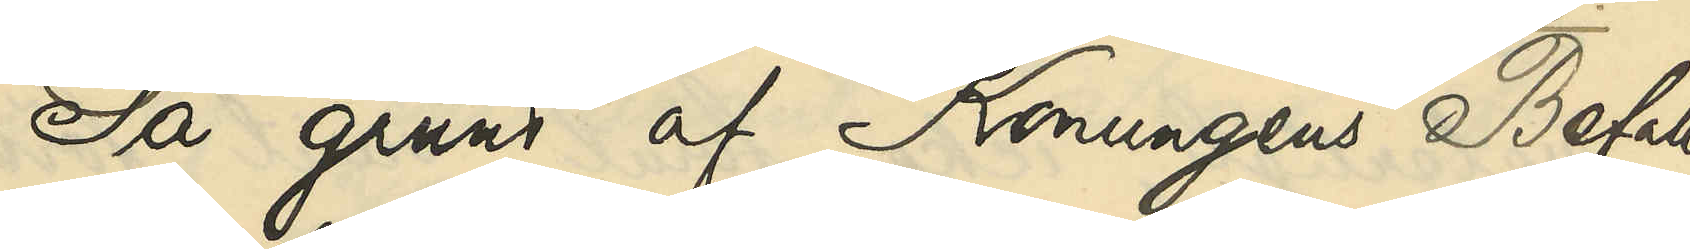På grund af Konungens Befall¬
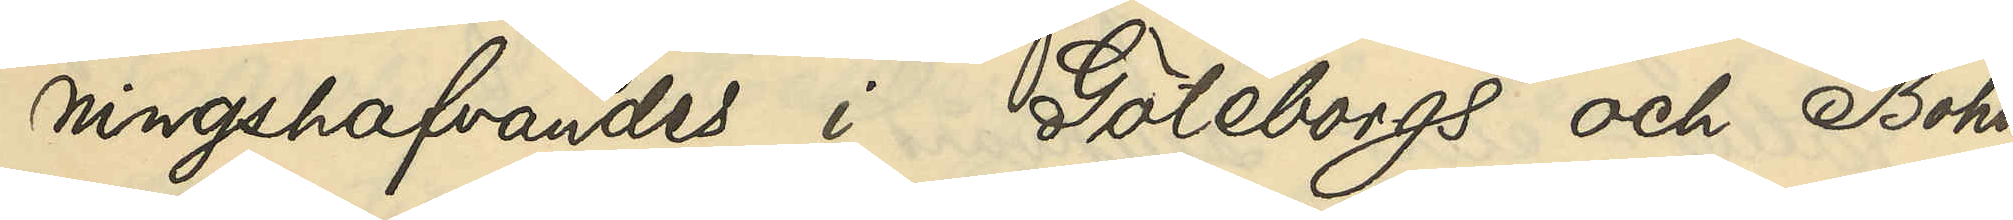ningshafvandes i Göteborg och Bohus
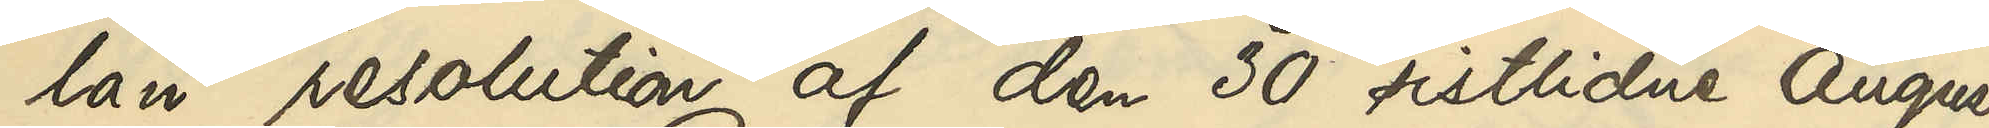län resolution af den 30 sistlidne Augusti,
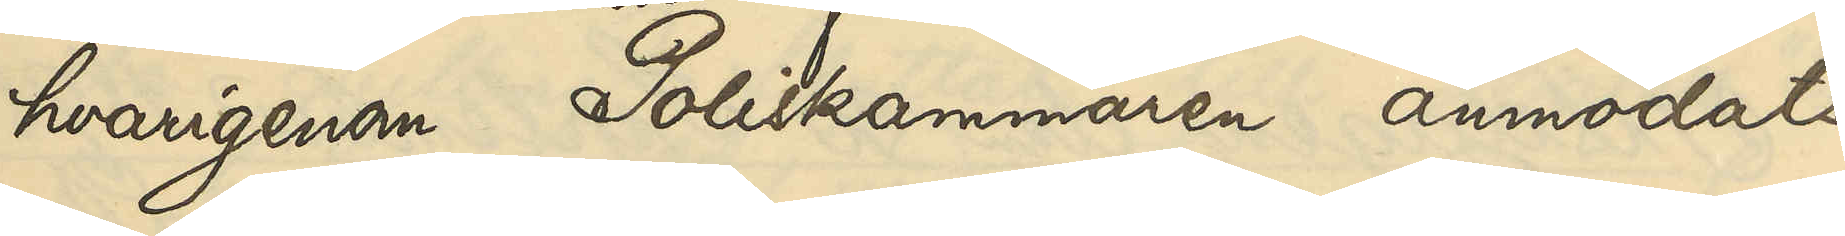hvarigenom Poliskammaren anmodats
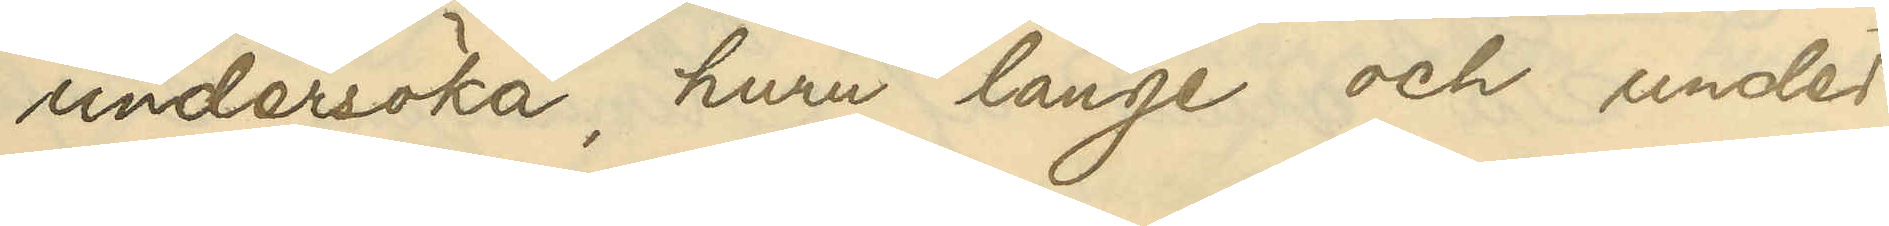undersöka, huru länge och under
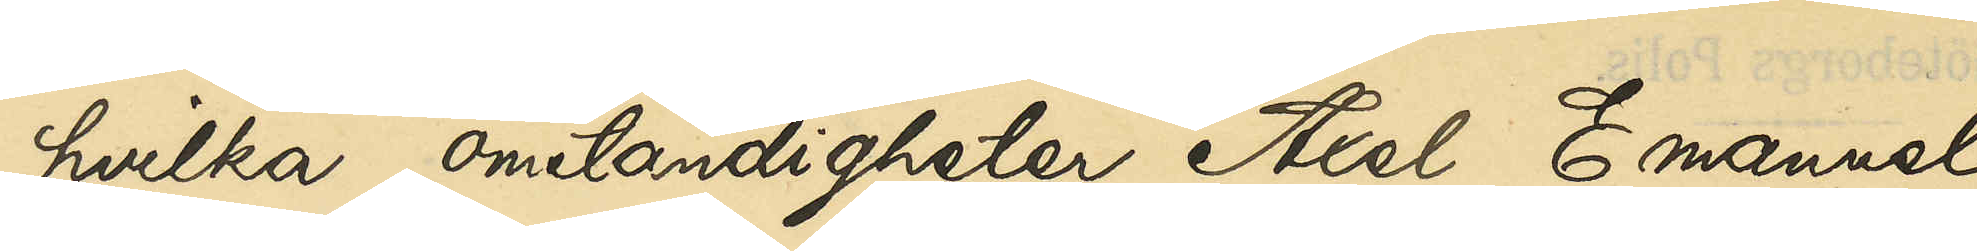hvilka omständigheter Axel Emanuel
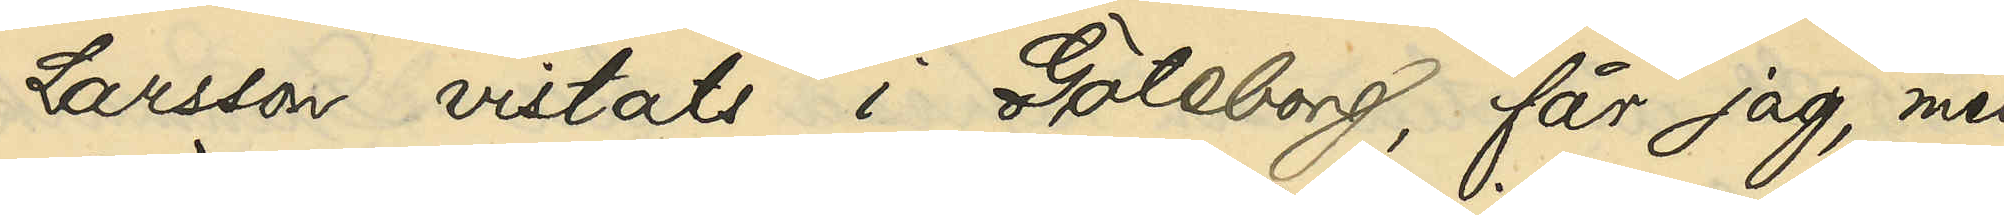Larsson vistats i Göteborg, får jag, med
